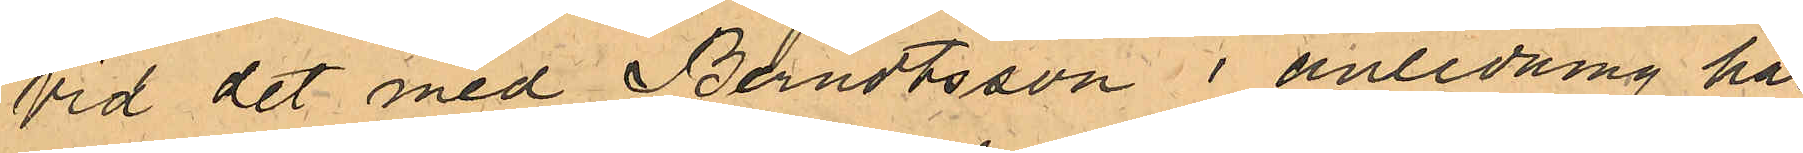Vid det med Berndtsson i anledning här¬
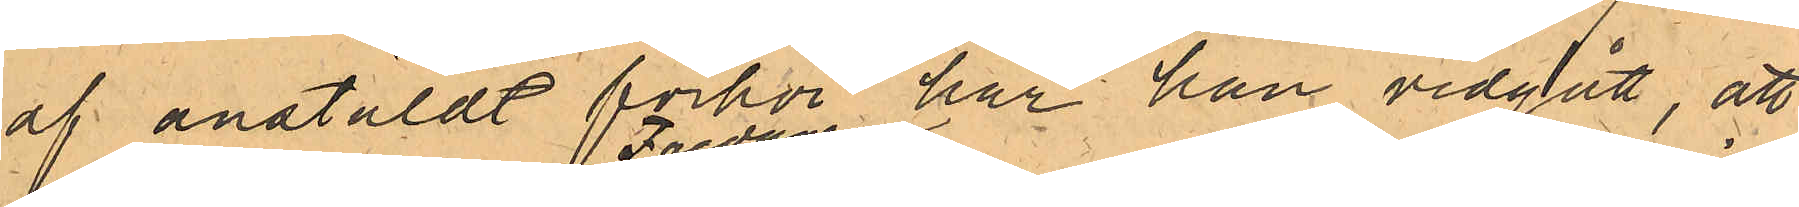af anstäldt förhör har han vidgått, att
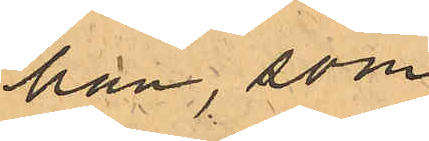han, som
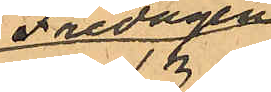Fredagen
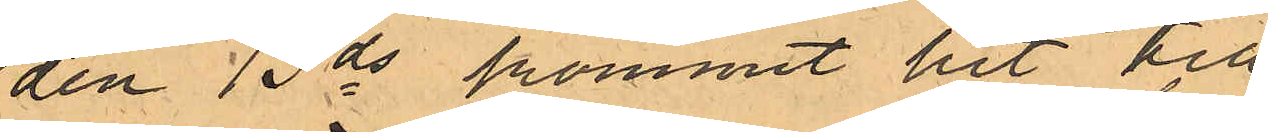den 13 ds kommit hit till
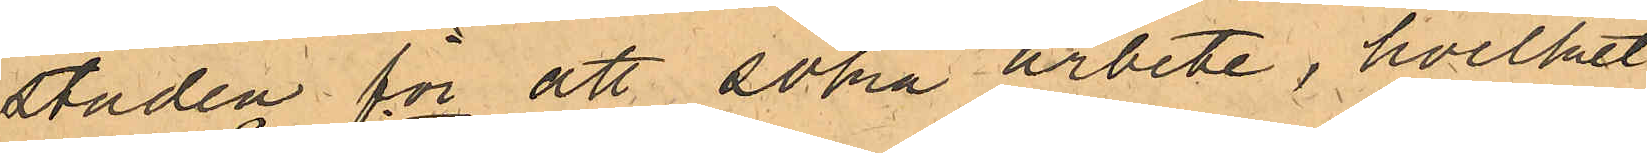staden för att söka arbete, hvilket
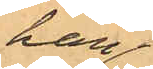han
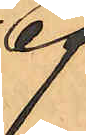ej
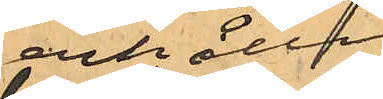erhållit
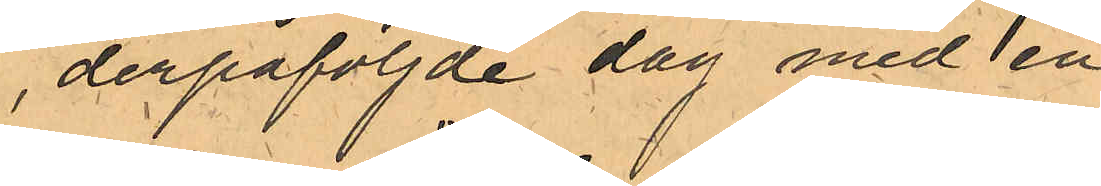, derpåföjde dag med en
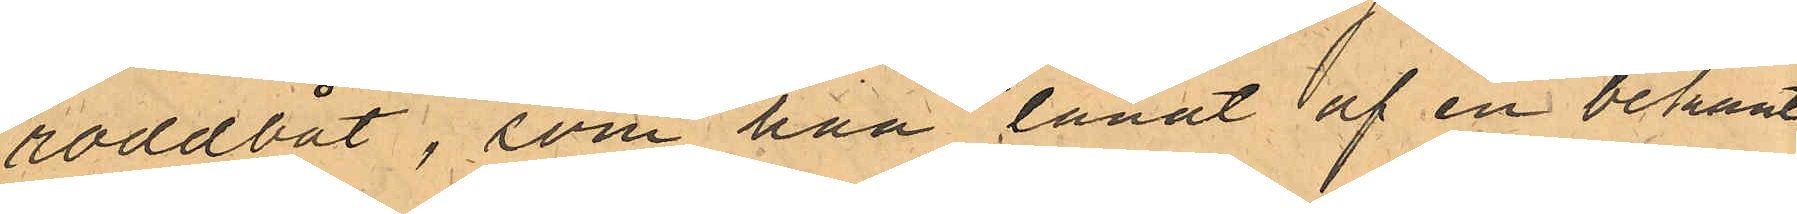roddbåt, som han lånat af en bekant
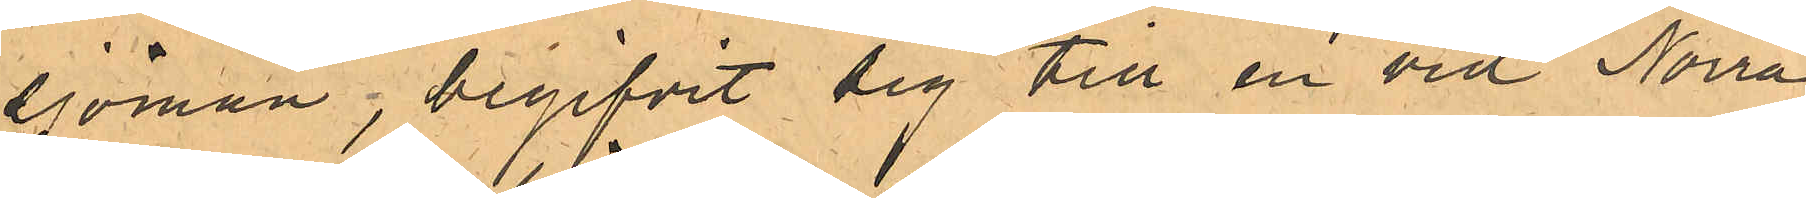sjöman, begifvit sig till en vid Norra
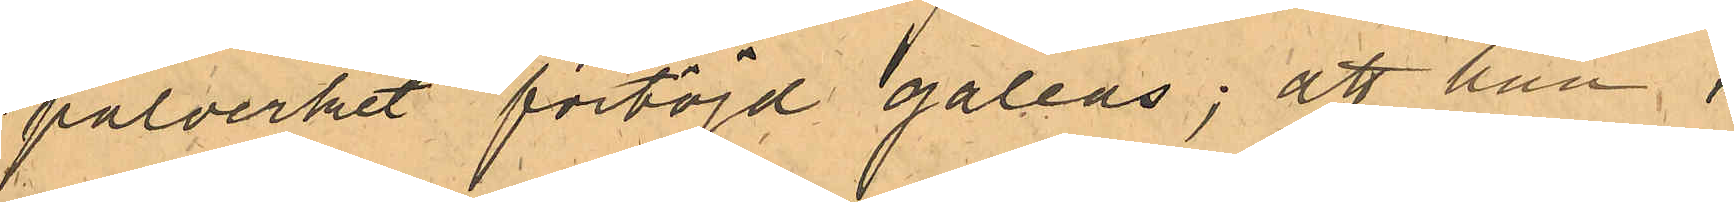pålverket förtöjd galeas; att han i
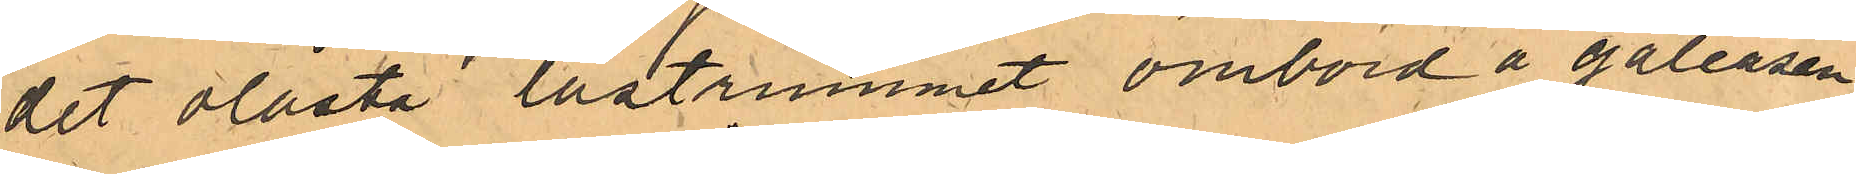det olåsta lastrummet ombord å galeasen
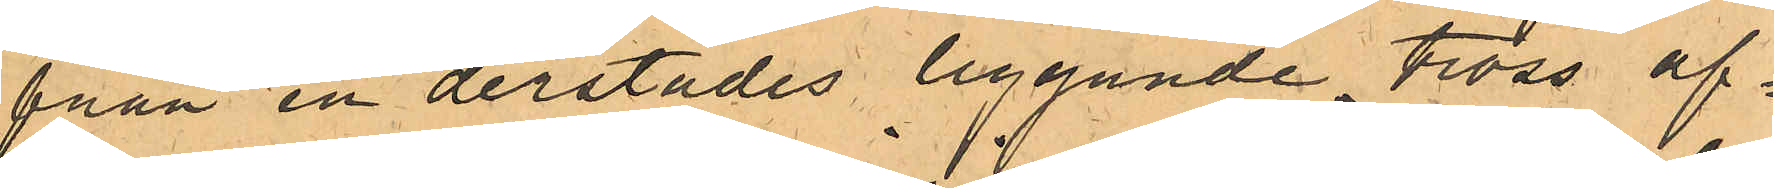från en derstädes liggande tross af¬
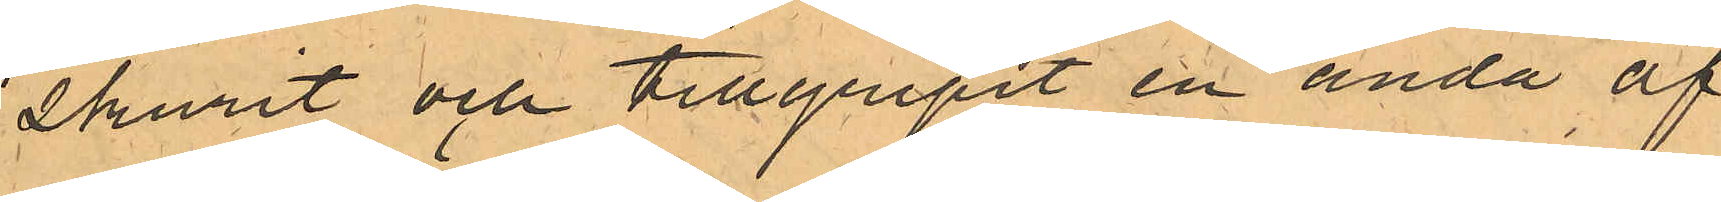skurit och tillgripit en ända af
